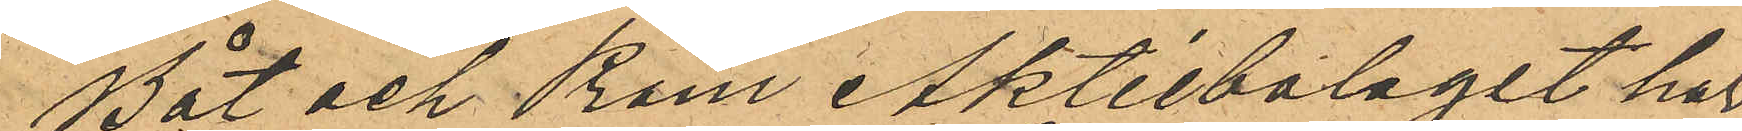Båt och Pråm Aktiebolaget har
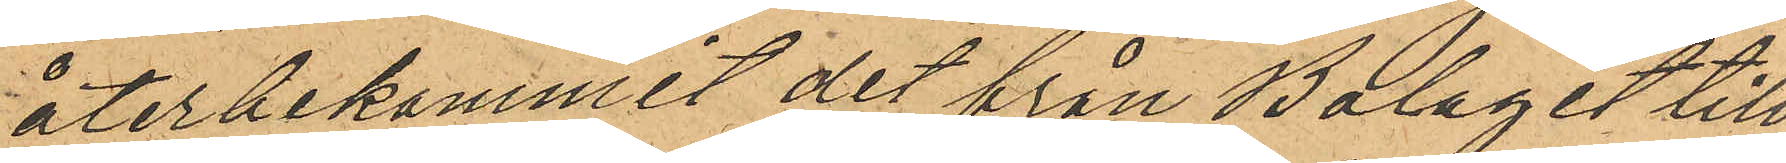återbekommit det från Bolaget till¬
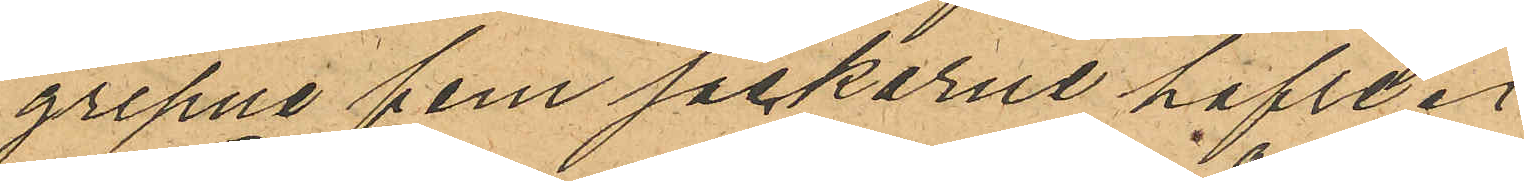gripne fem säckarne hafve.
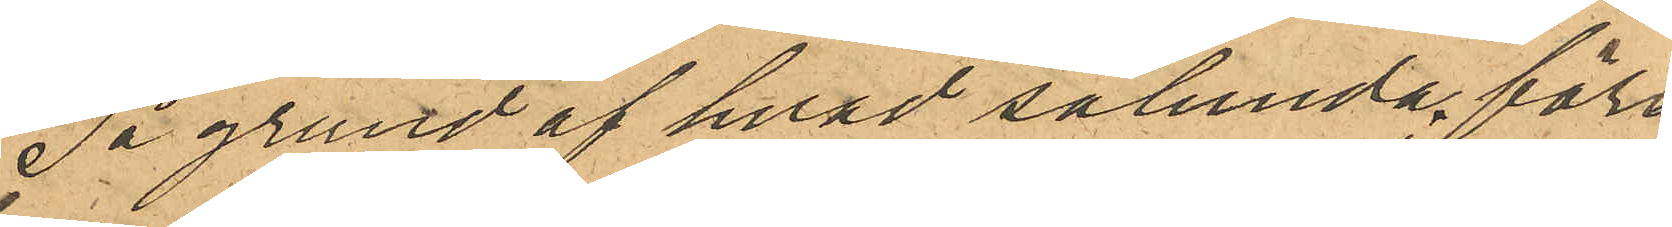På grund af hvad sålunda före¬
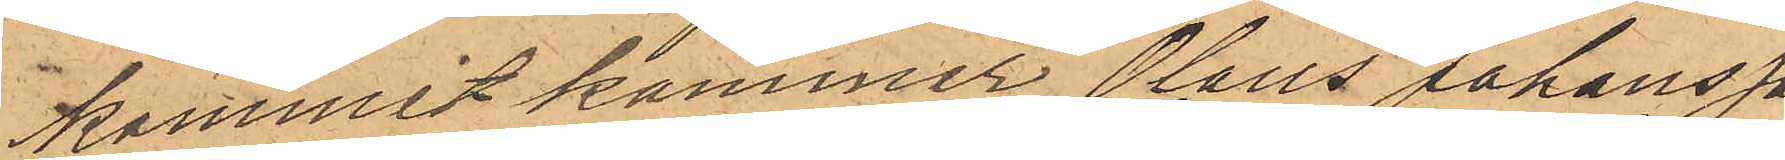kommit kommer Olaus Johansson
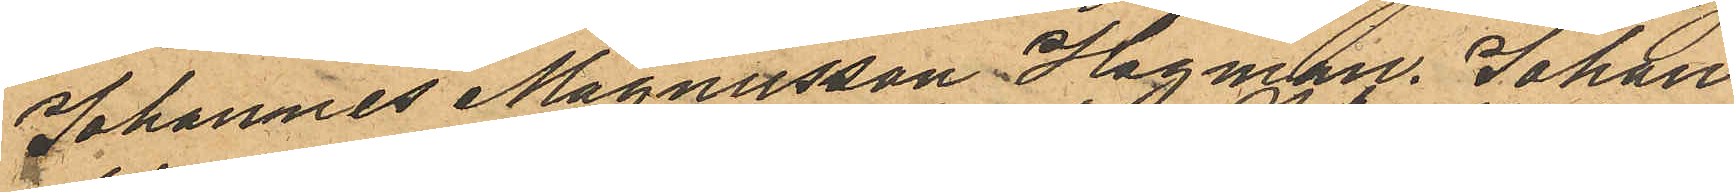Johannes Magnusson Hagman. Johan
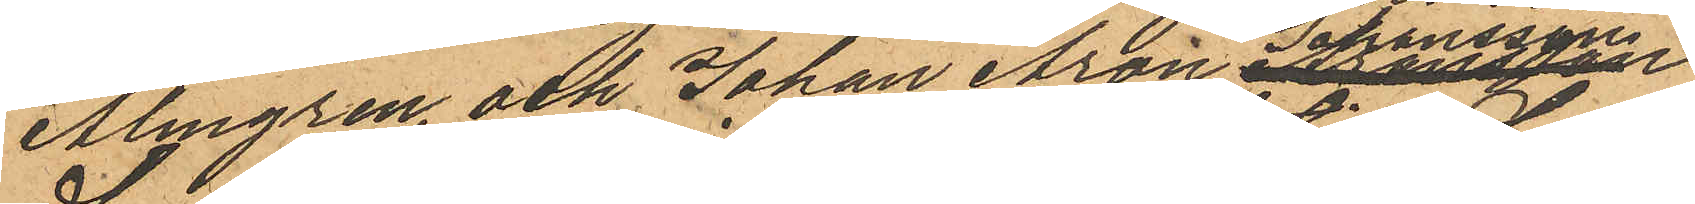Almgren och Johan Aron Johansson
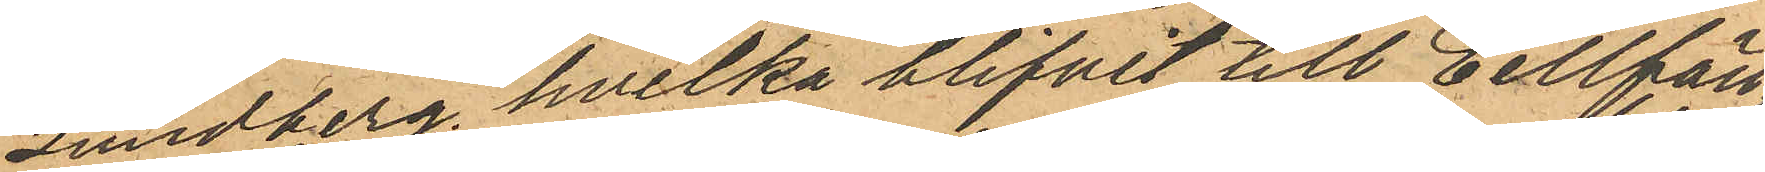Lundberg, hvilka blifvit till Cellfän¬
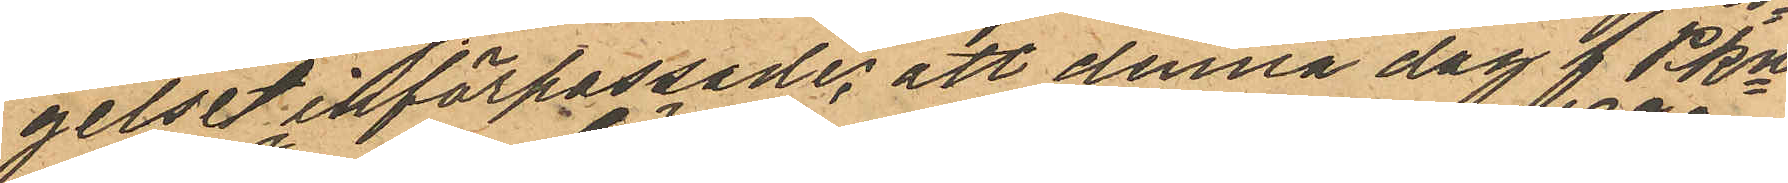gelset införpassade, att denna dag f PKn
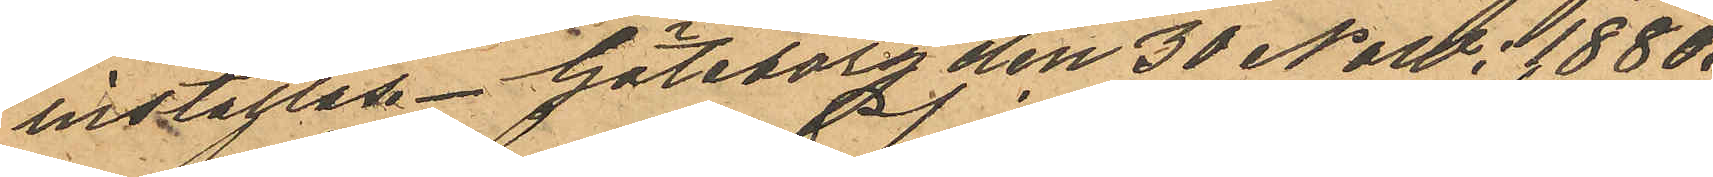inställas. Göteborg den 30 Now: 1880.
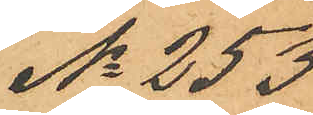No 253
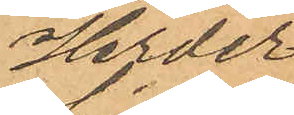Herder
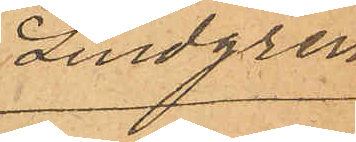Lindgren
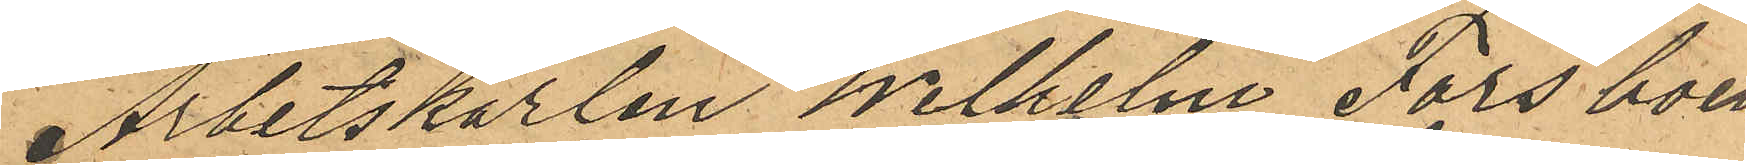Arbetskarlen Wilhelm Fors boen¬
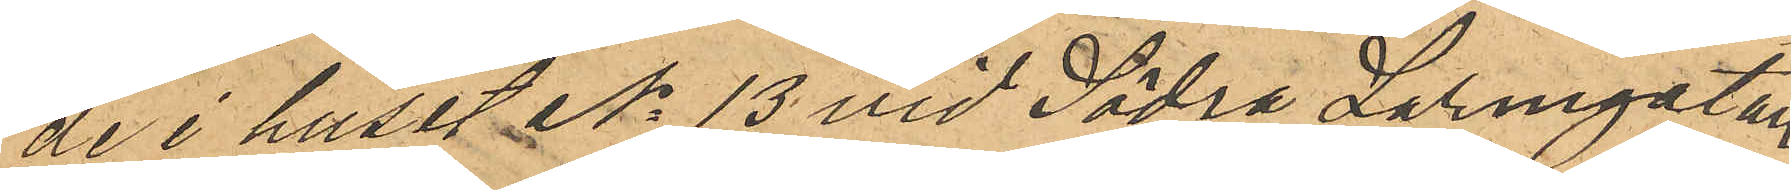de i huset No 13 vid Södra Larmgatan
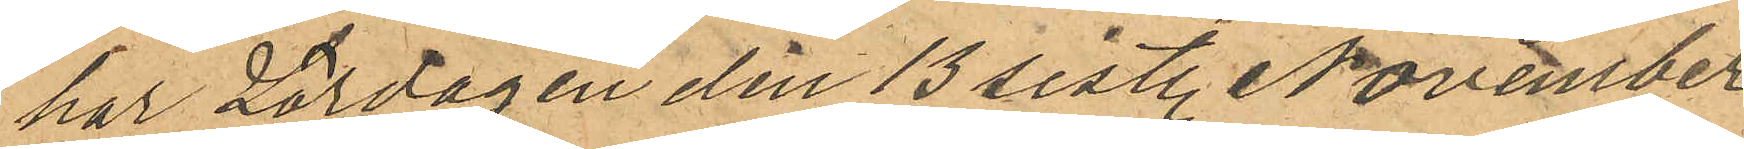har Lördagen den 13 sist. November
